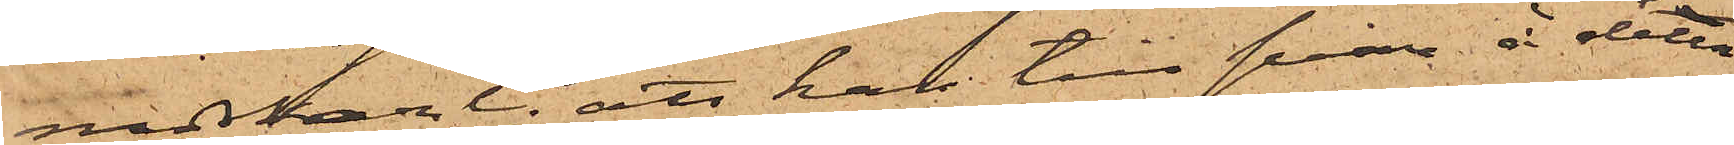nadskarl; att han till svar å denna
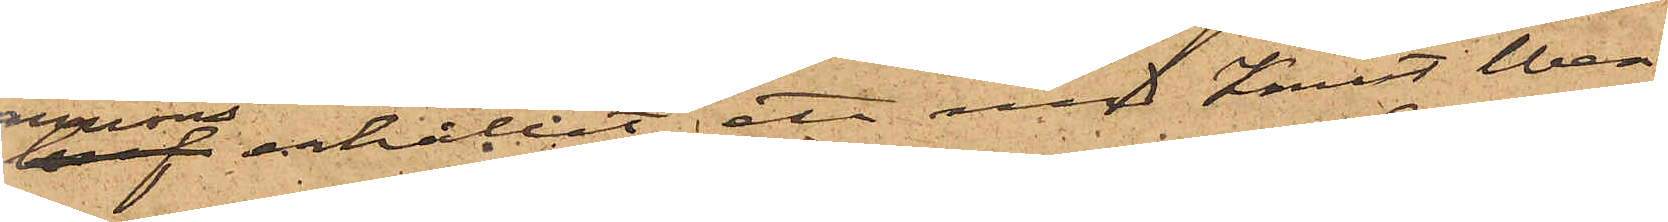annons erhållit ett med Knut Wen¬
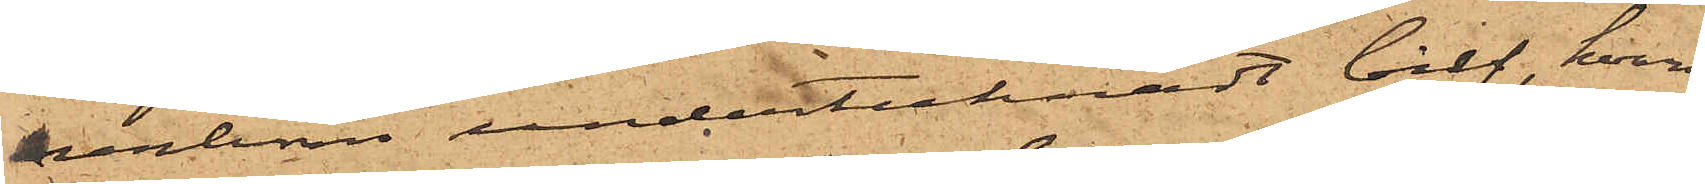nerbom undertecknadt bref, hvari
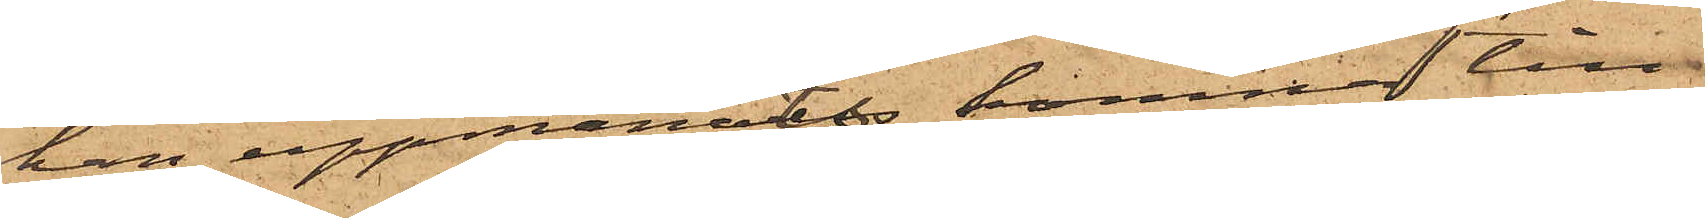han uppmanats komma till
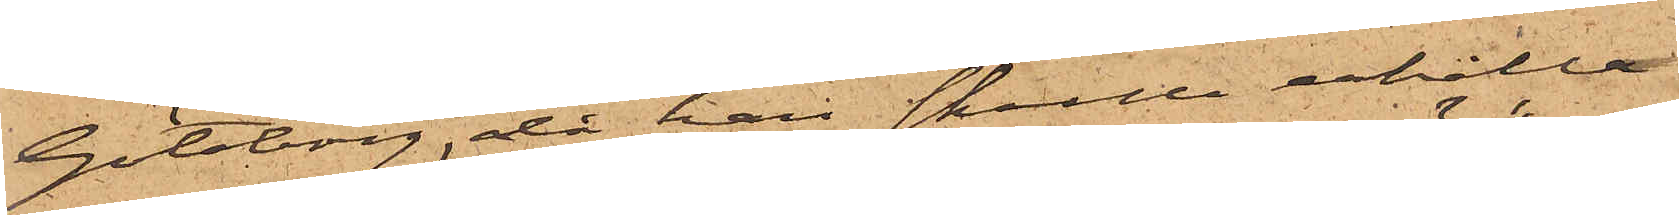Göteborg, då han skulle erhålla
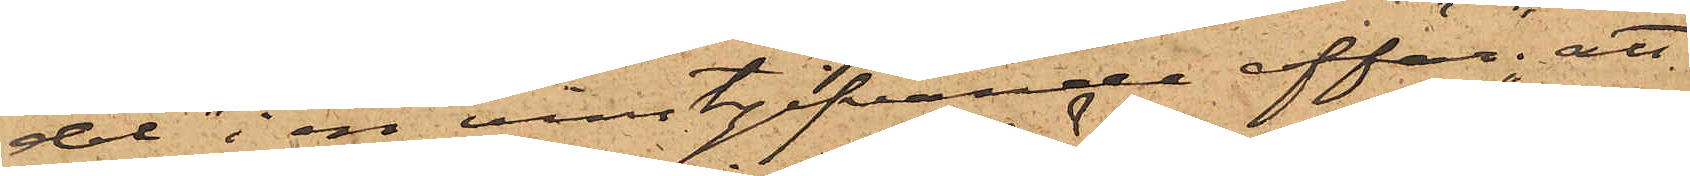del "i en vinstgifvande affär"; att
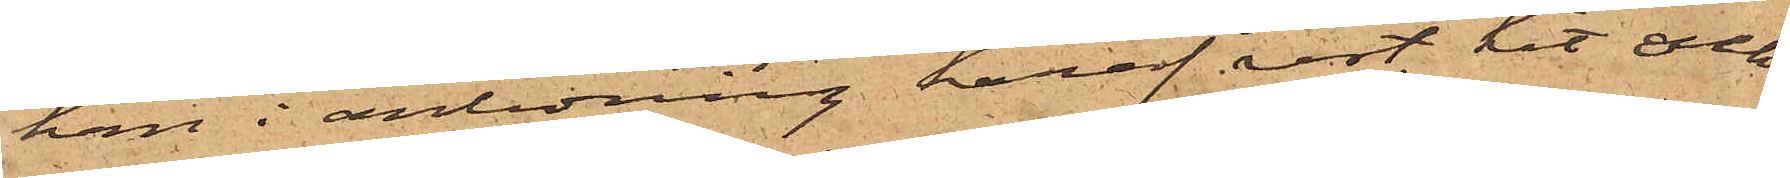han i anledning häraf rest hit och
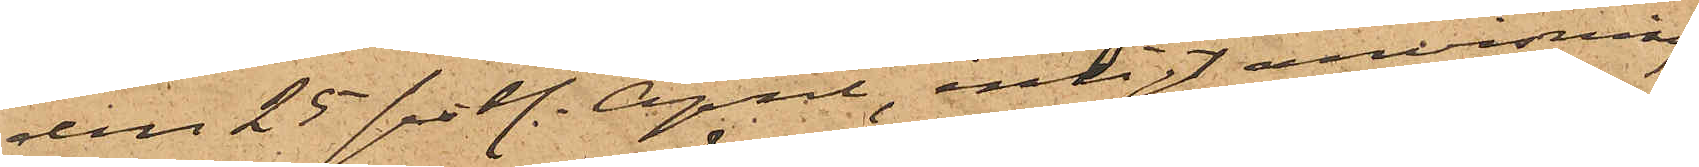den 25 sistl. April, enligt anvisning
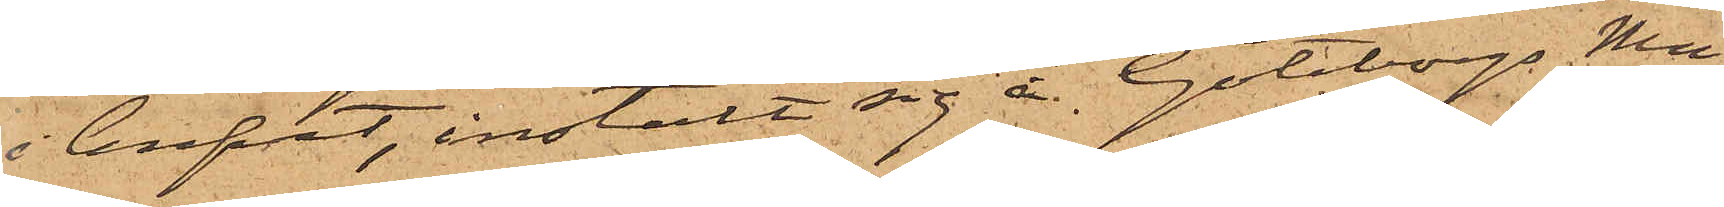i brefvet, instält sig å Göteborgs Ma¬
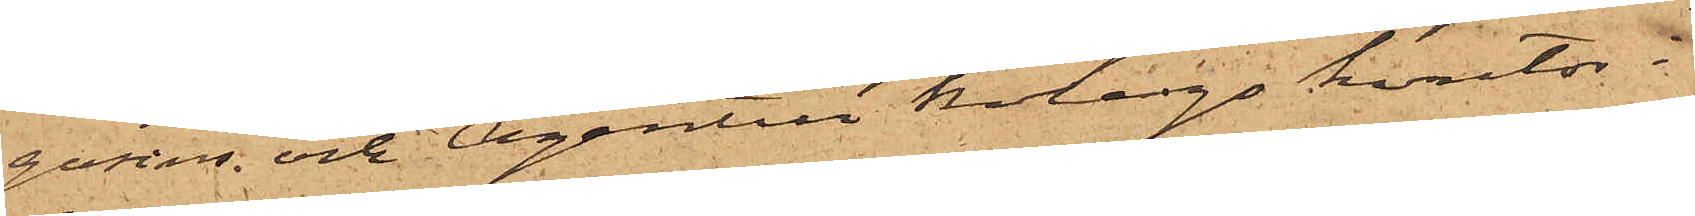gasin och Agentur bolags kontor i
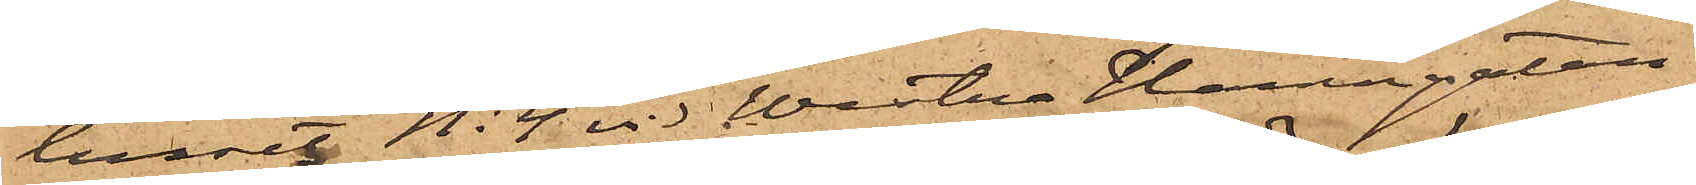huset No 4 vid Westra Hamngatan,
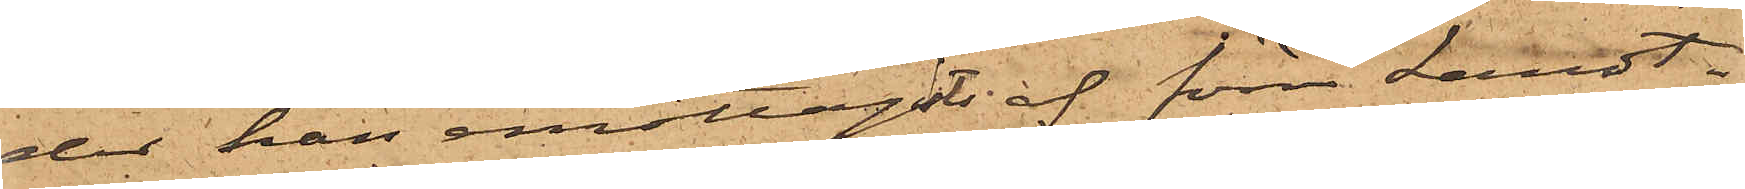der han emottagits af förre Landt¬
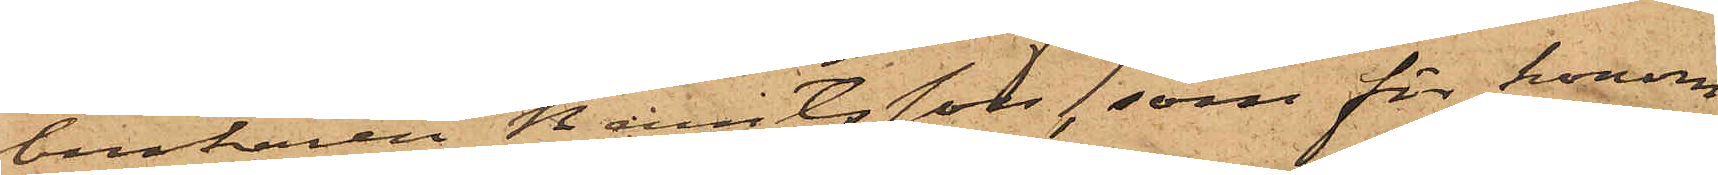brukaren Berntsson, som för honom
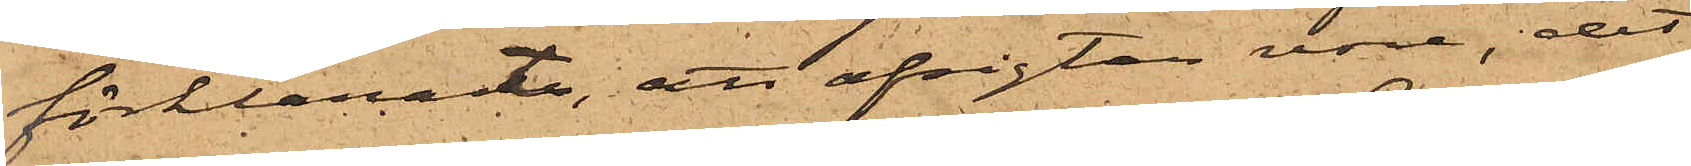förklarat, att afsigten vore, det
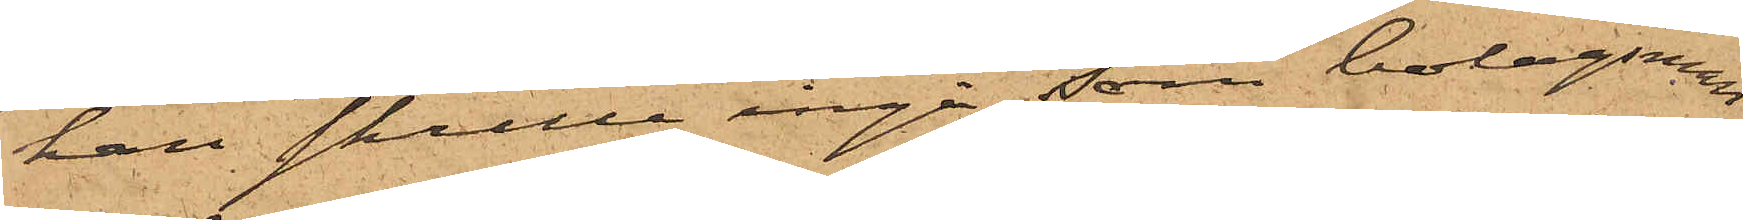han skulle ingå som bolagsman
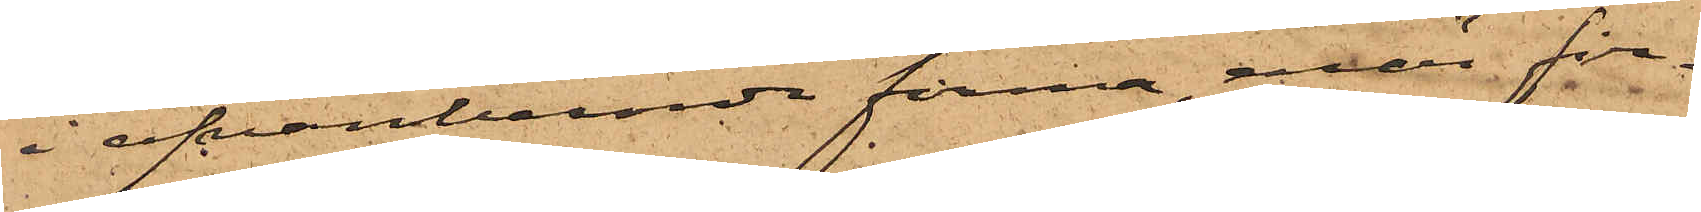i ofvanberörde firma, enär fir¬
